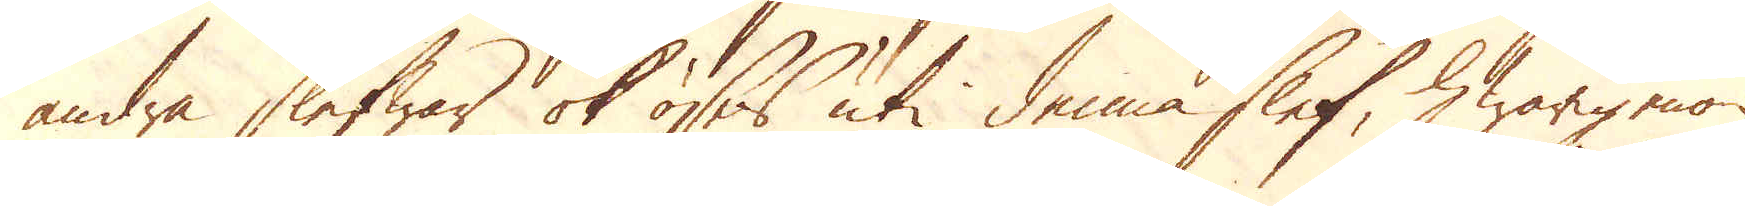andra slefwar ok öses uti denna slef, hwarigenom
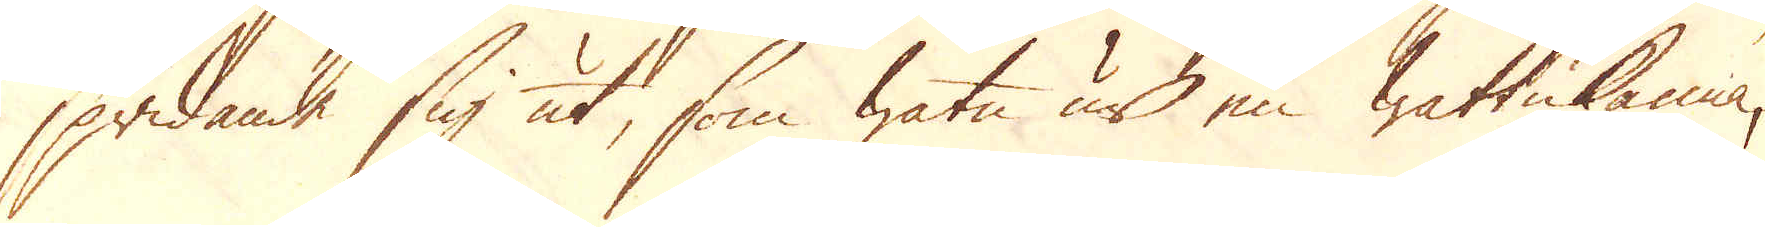spridande sig ut, som watn ur en wattukanna,
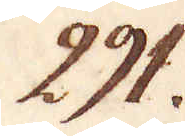291.
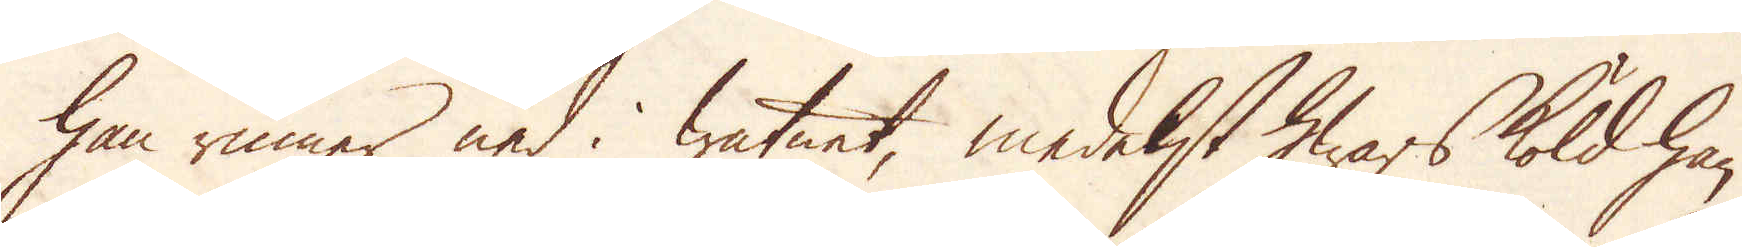han rinner ned i watnet, medelst hwars köld han
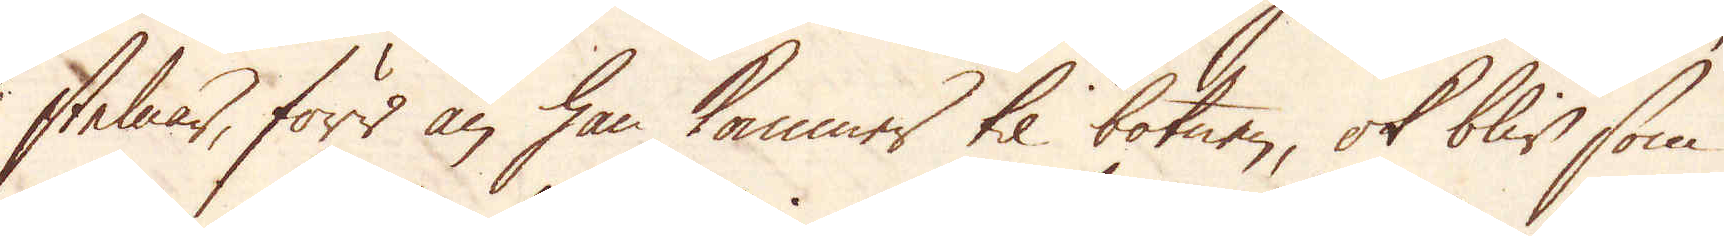stelnar, förr än han kommer til botnen, ok blir som
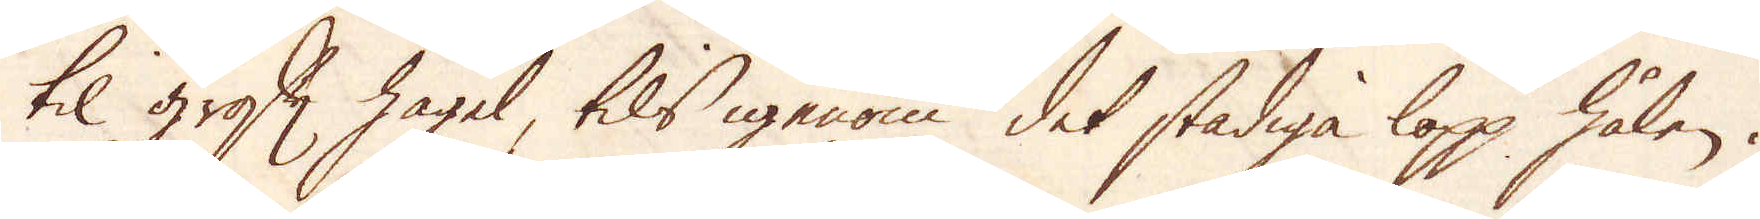til groft hagel, tils igenom det stadiga lopp hålen i
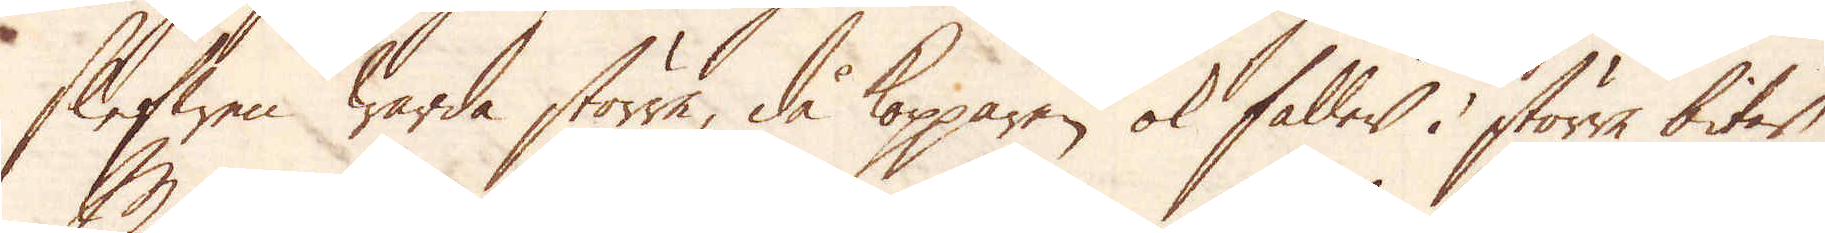Slefwen warda större, då kopparen ok faller i större bitar.
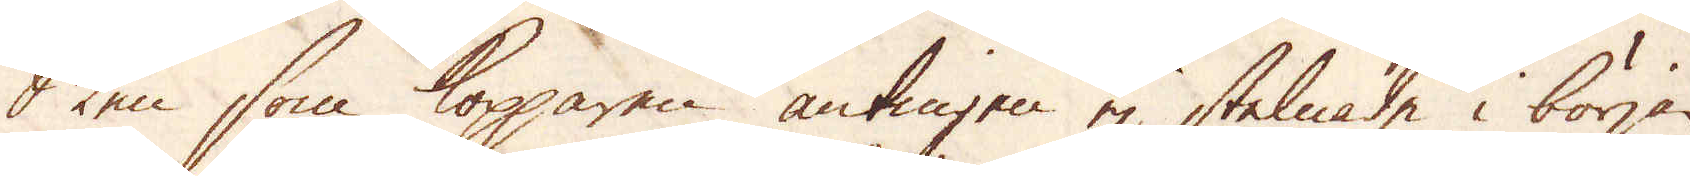Men som Kopparen antingen ej stelnade i början
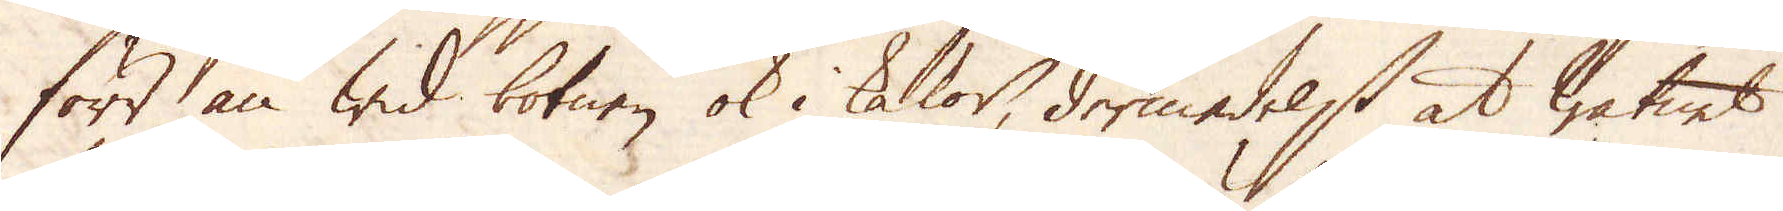förr än wid botnen ok i kakor, dermedelst at watnet
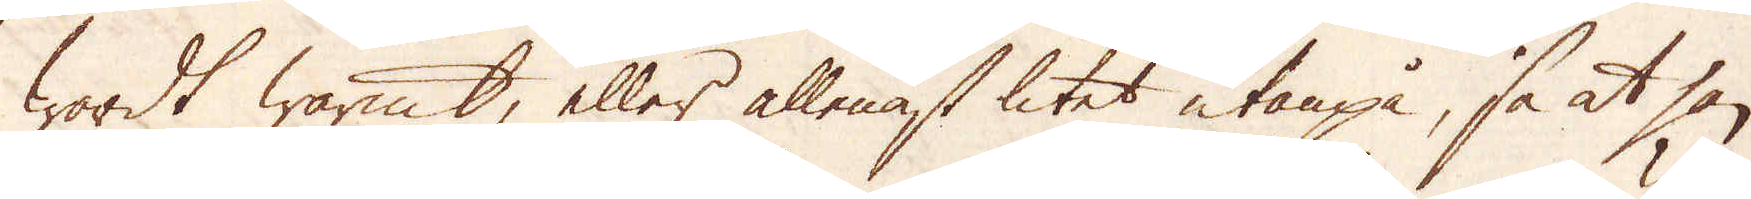wardt warmt, eller allenast litet utanpå, så at han
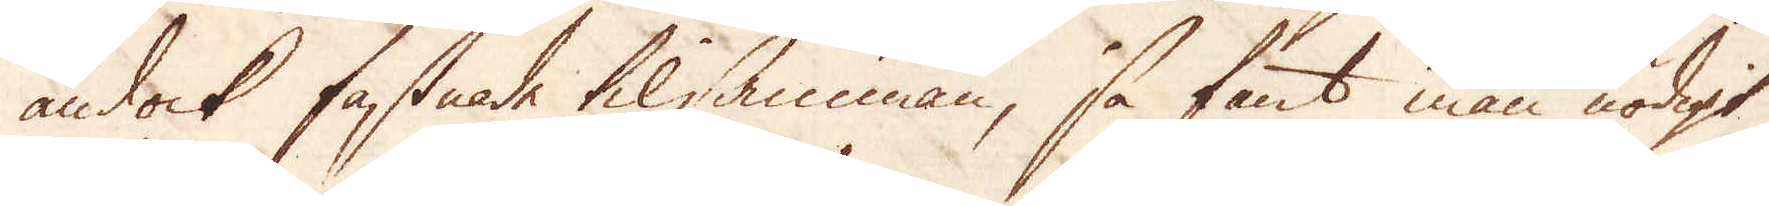ändock fastnade tilsamman, så fant man nödigt
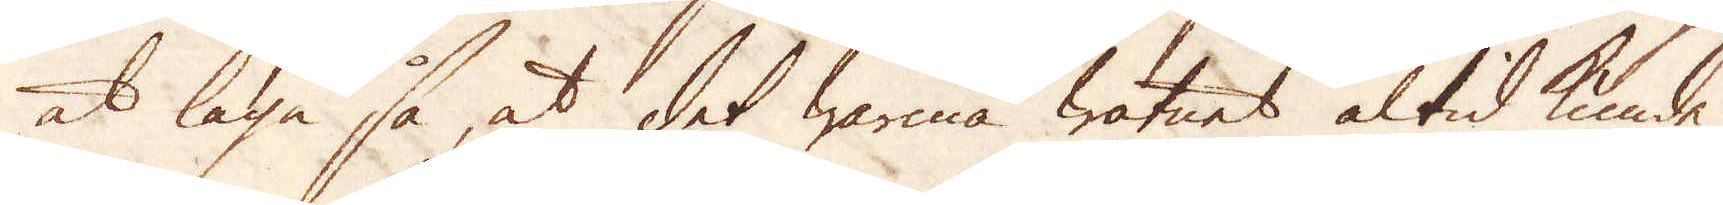at laga så at det warma watnet altid kunde
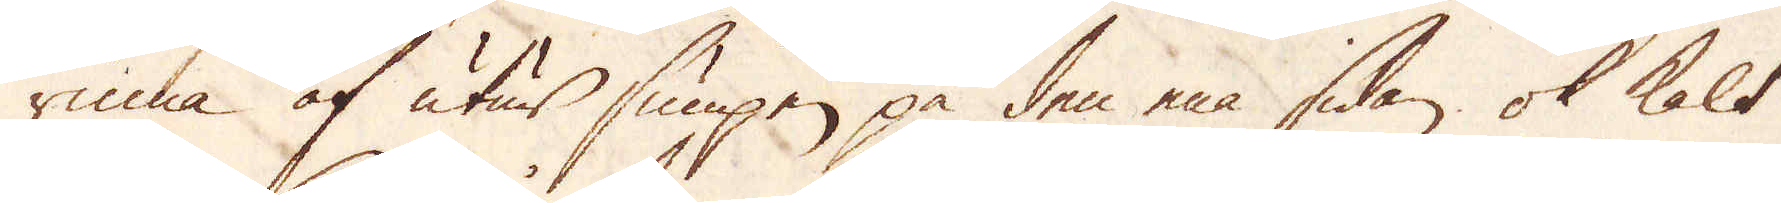rinna af utur sumpen på den ena sidan ok kalt
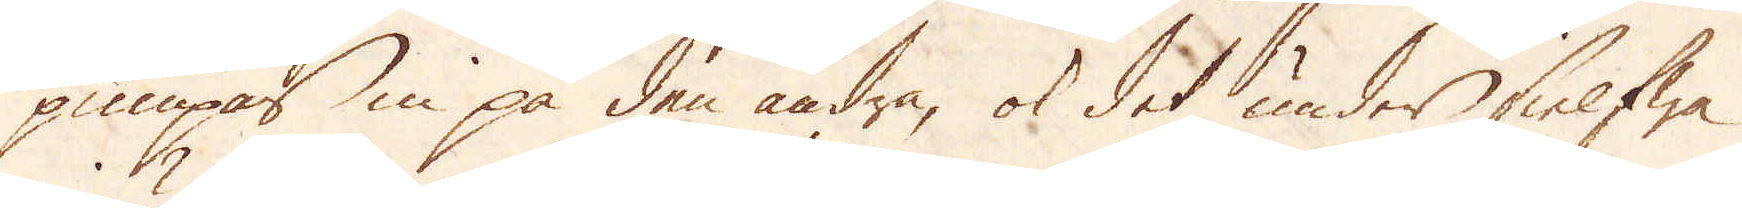pumpas in på den andra, ok det under sielfwa
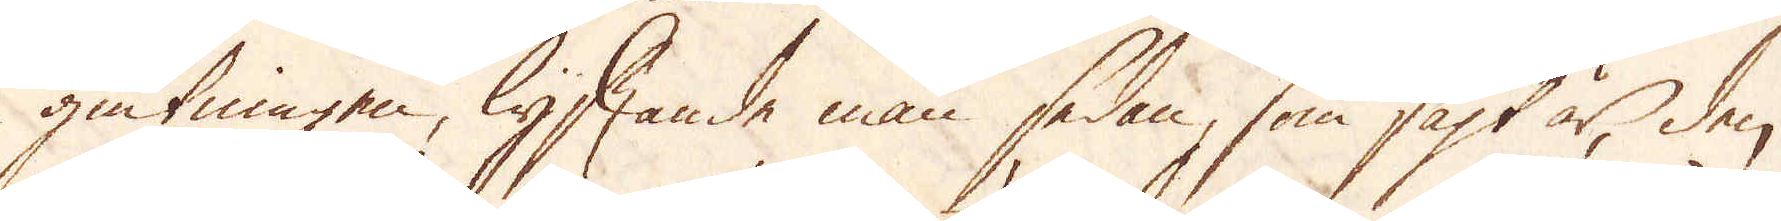giutningen, lyftande man sedan, som sagt är, den
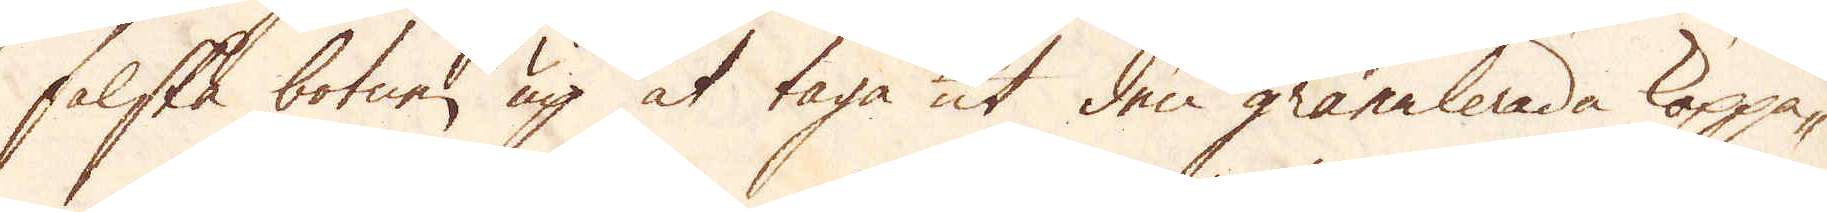falska botnen up at taga ut den granulerade koppa-
